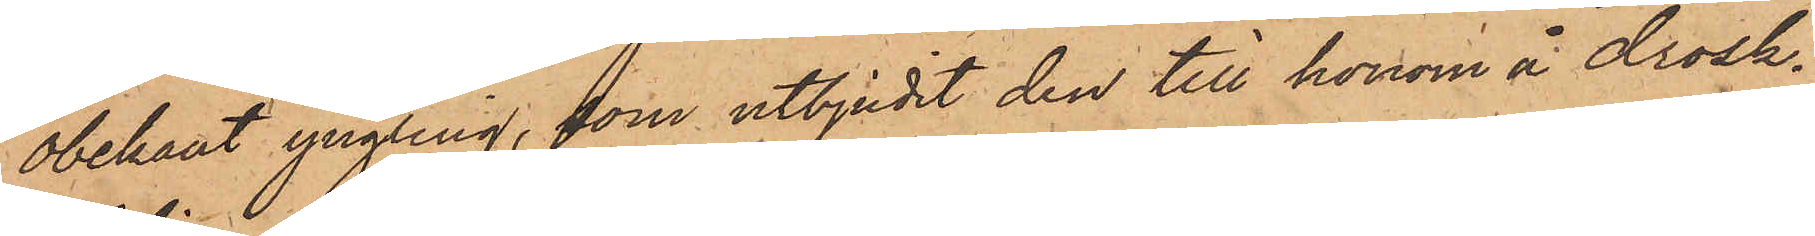obekant yngling, som utbjudit den till honom å drosk¬
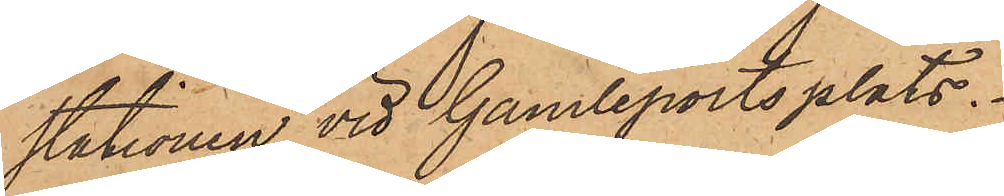stationen vid Gamleportsplats.
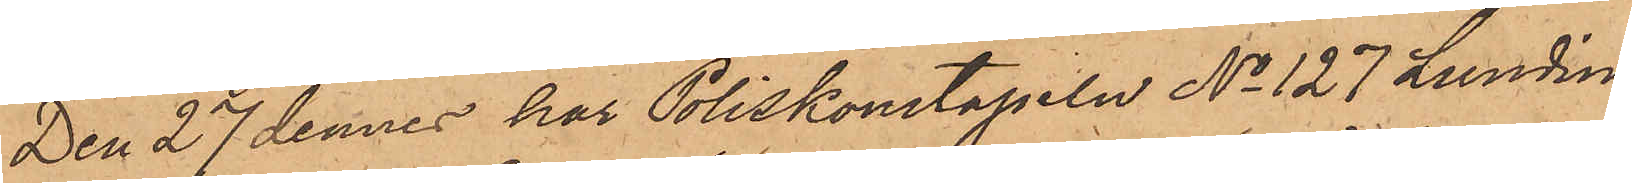Den 27 dennes har Poliskonstapeln No 127 Lundin
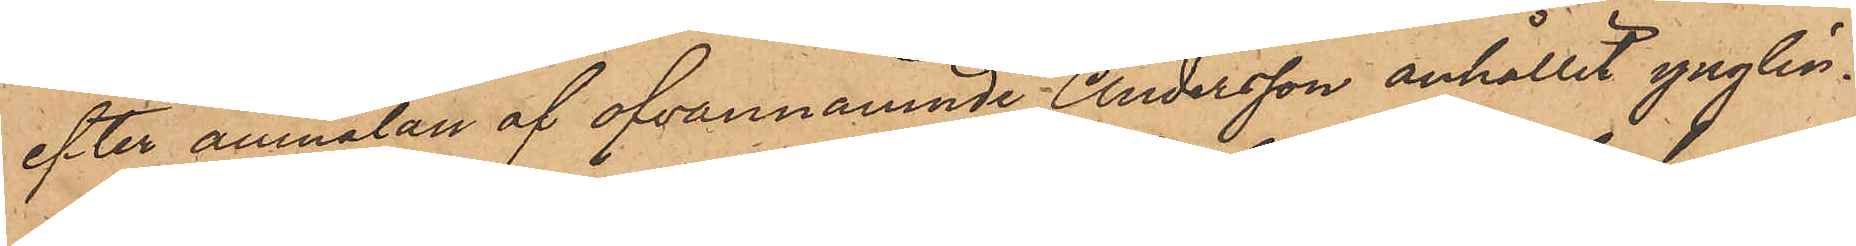efter anmälan af ofvannämnde Andersson anhållit ynglin¬
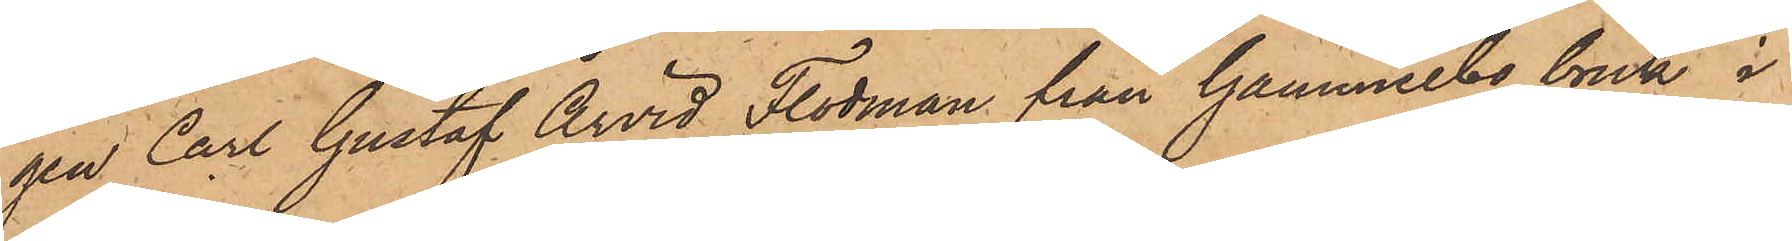gen Carl Gustaf Arvid Flodman från Gammelbo bruk i
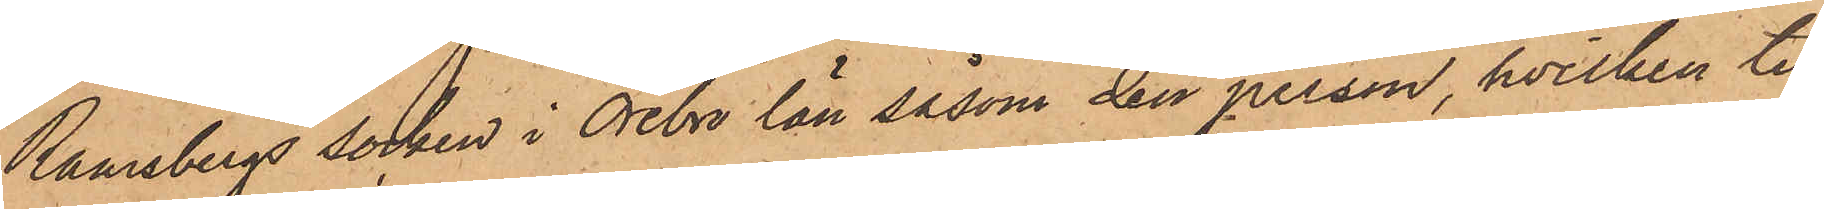Ramsbergs socken i Örebro län såsom den person, hvilken till
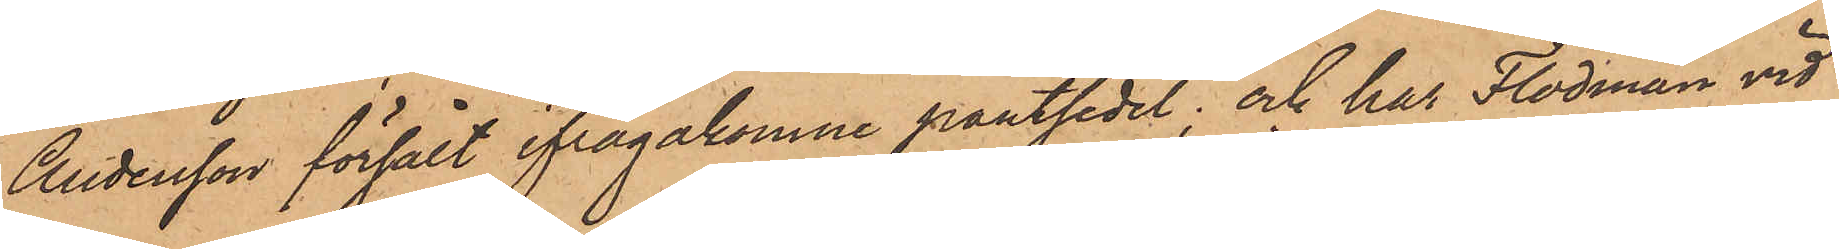Andersson försålt ifrågakomne pantsedel; och har Flodman vid
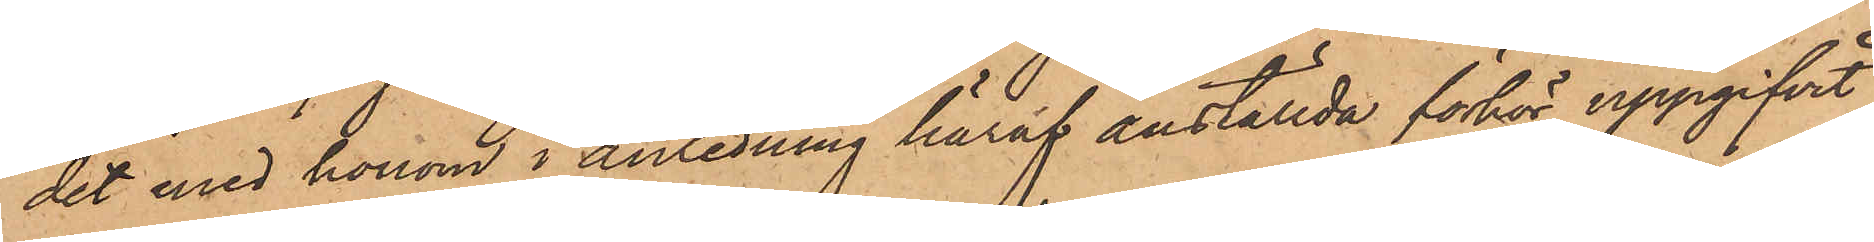det med honom i anledning häraf anställda förhör uppgifvit,
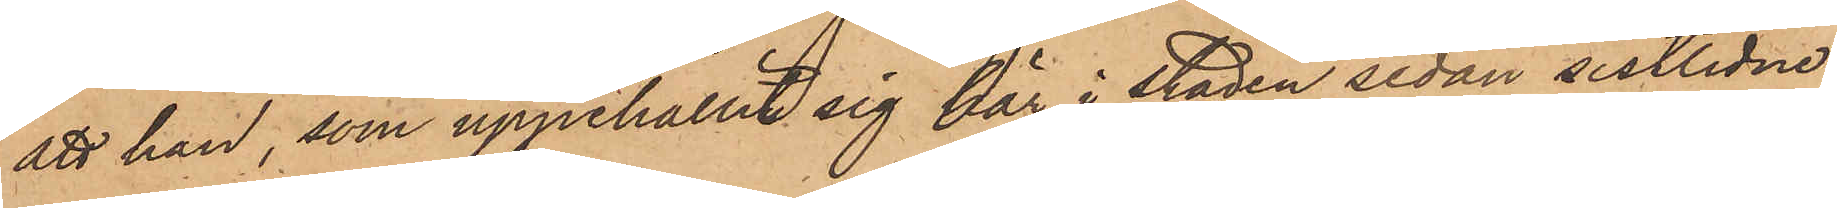att han, som uppehållit sig här i staden sedan sistlidne
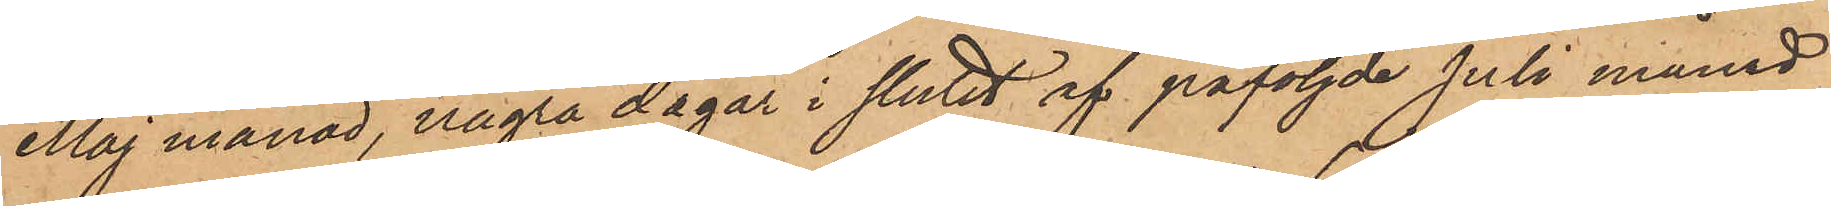Maj månad, några dagar i slutet af påföljde Juli månad
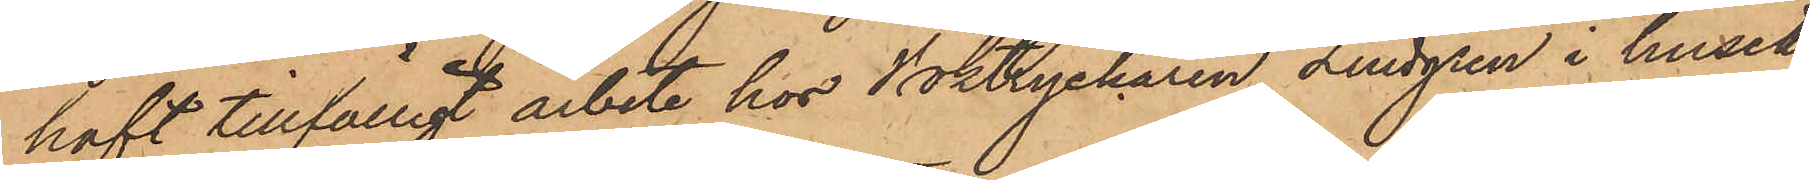haft tillfälligt arbete hos Boktryckaren Lindgren i huset
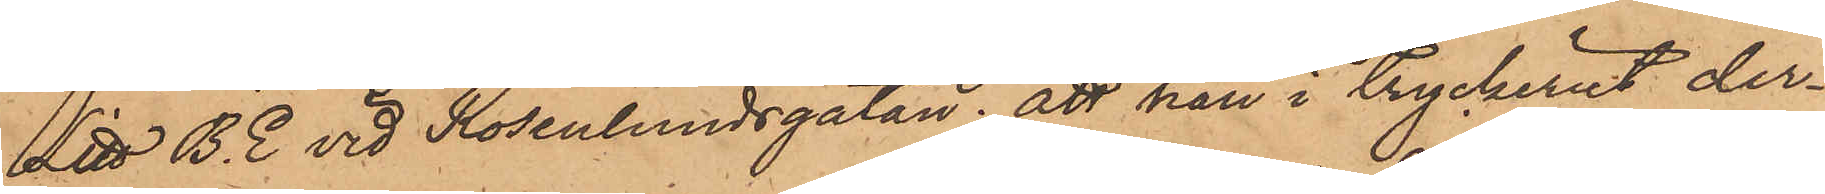Litt B. E vid Rosenlundsgatan; att han i tryckeriet der¬
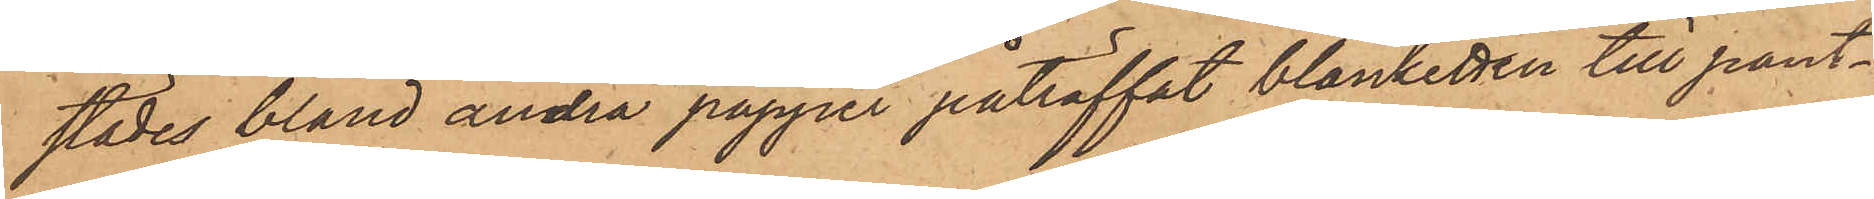städes bland andra papper påträffat blanketten till pant¬
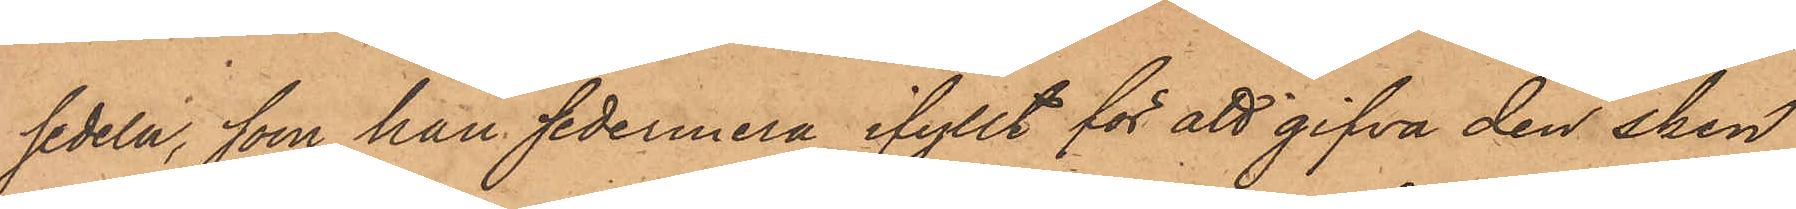sedeln, som han sedermera ifyllt för att gifva den sken
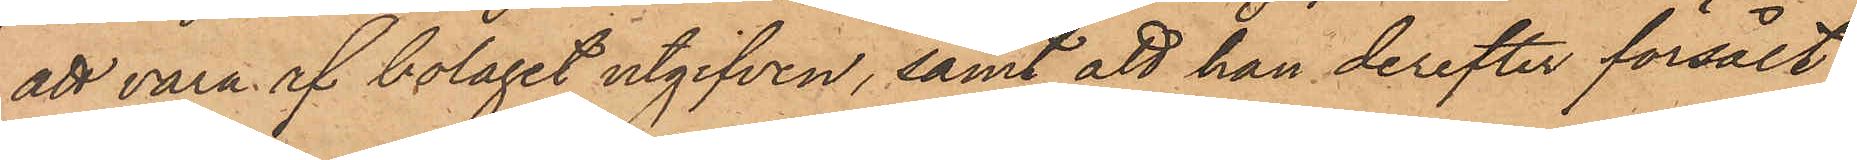att vara af bolaget utgifven, samt att han derefter försålt
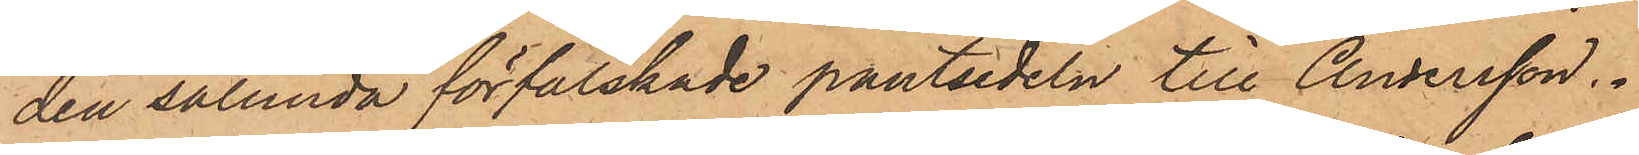den sålunda förfalskade pantsedeln till Andersson.
